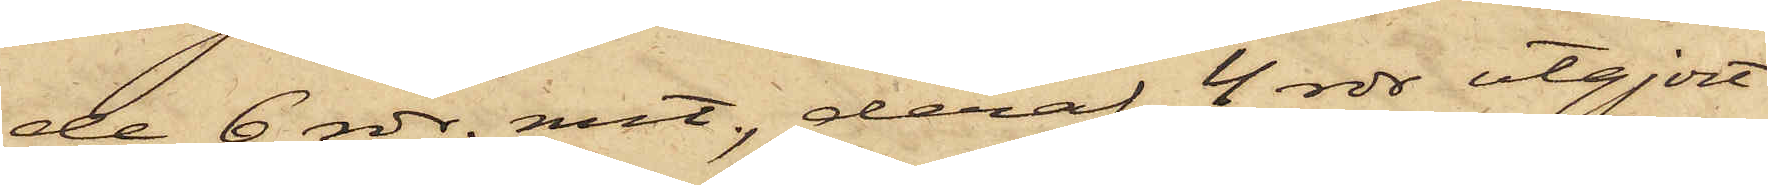de 6 rdr. rmt, deraf 4 rdr utgjort
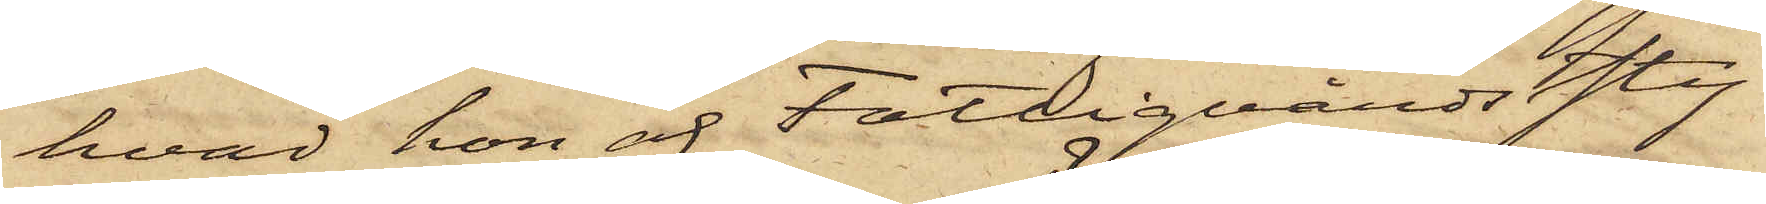hvad hon af Fattigvårdssty¬
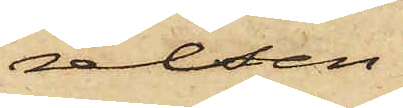relsen
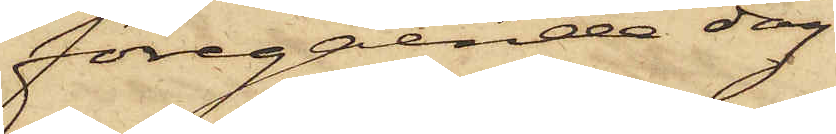föregående dag
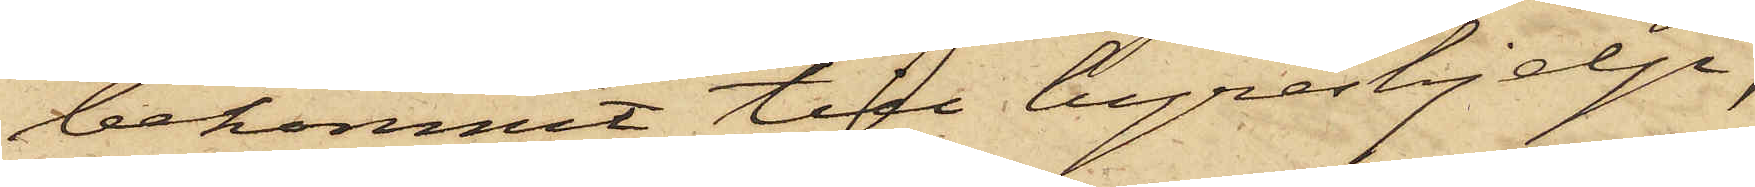bekommit till hyreshjelp,
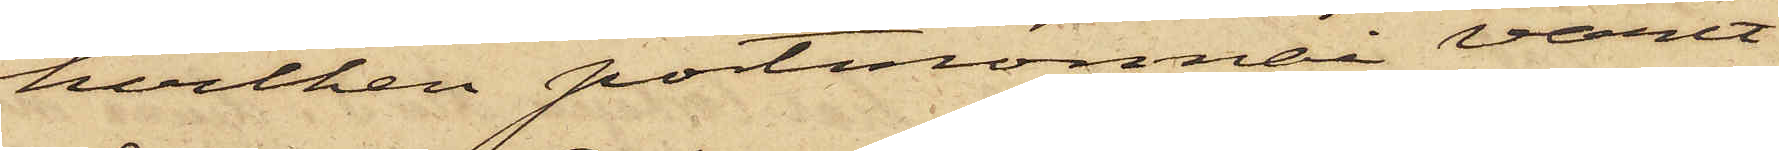hvilken portmonnai varit
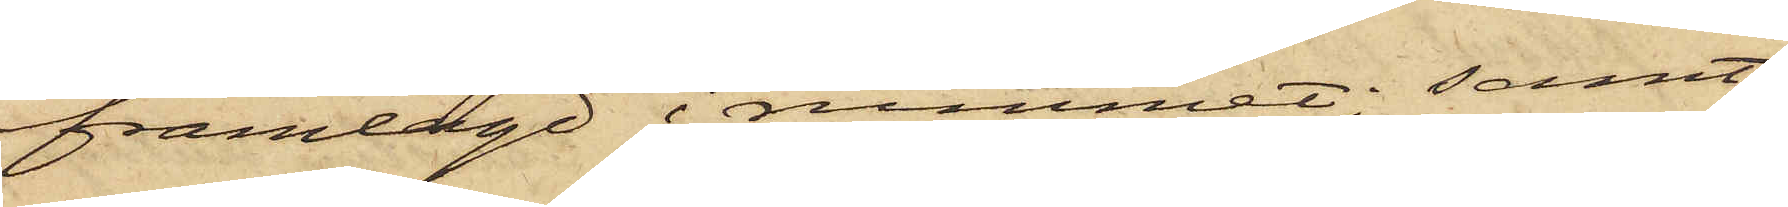framlagd i rummet; samt
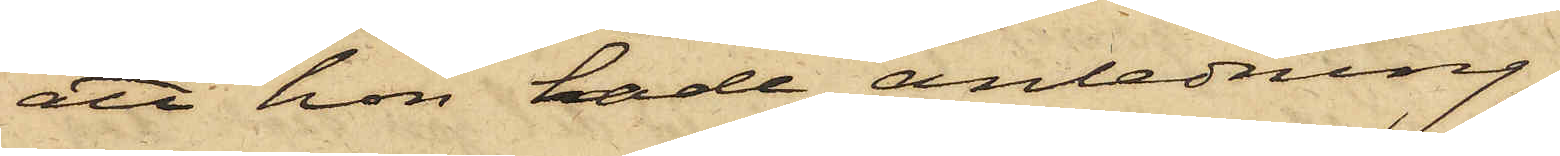att hon hade anledning
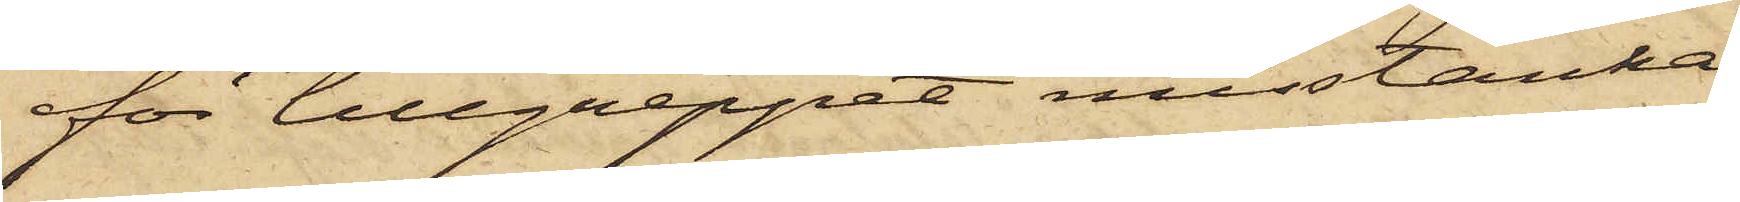för tillgreppet misstänka
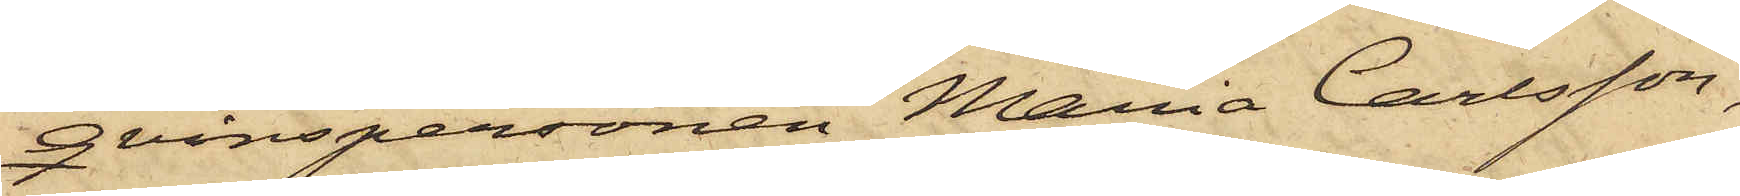Qvinspersonen Maria Carlsson,
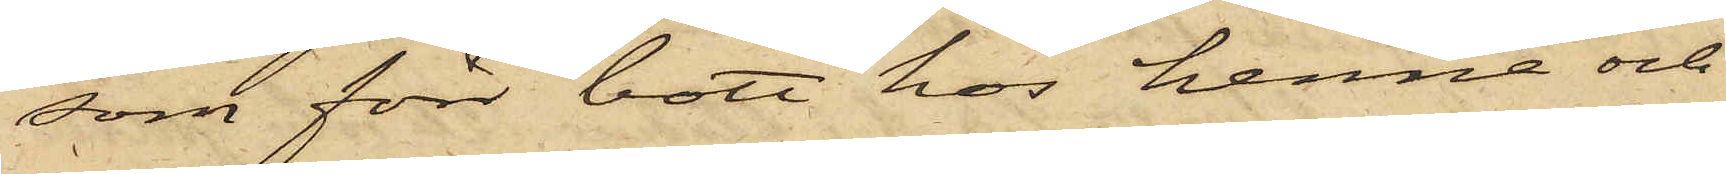som förr bott hos henne och
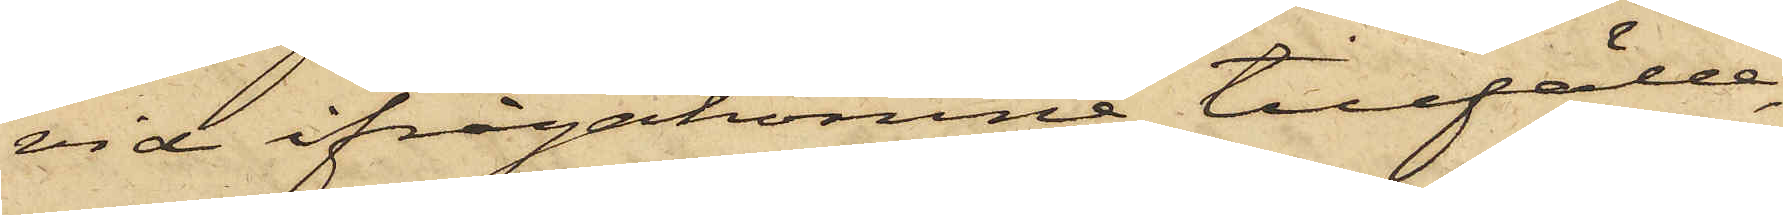vid ifrågakomne tillfälle,
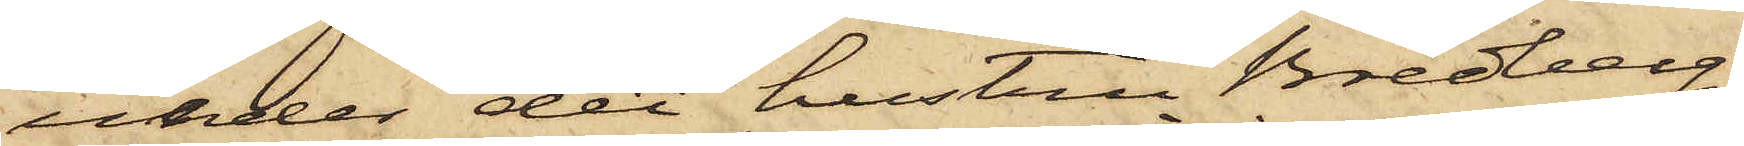under det hustru Bredberg
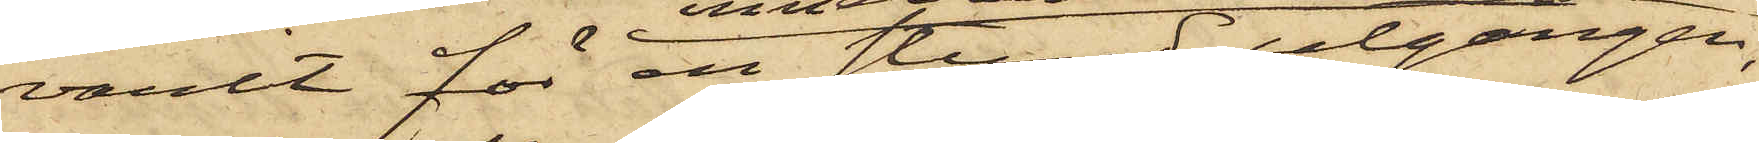varit för en stund utgången,
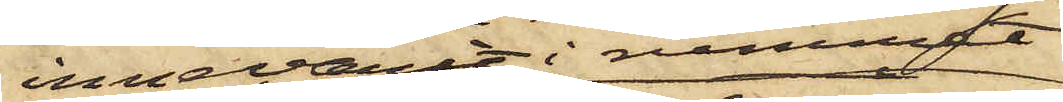innevarit i rummet
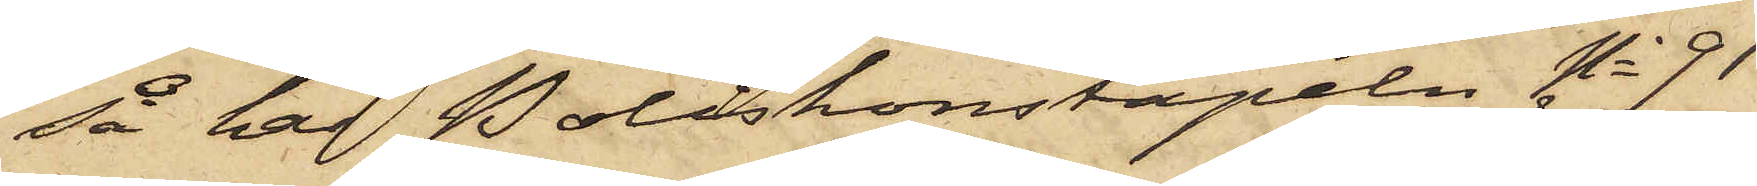så har Poliskonstapeln No 91
